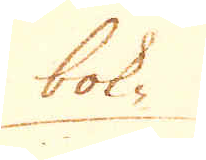bok-
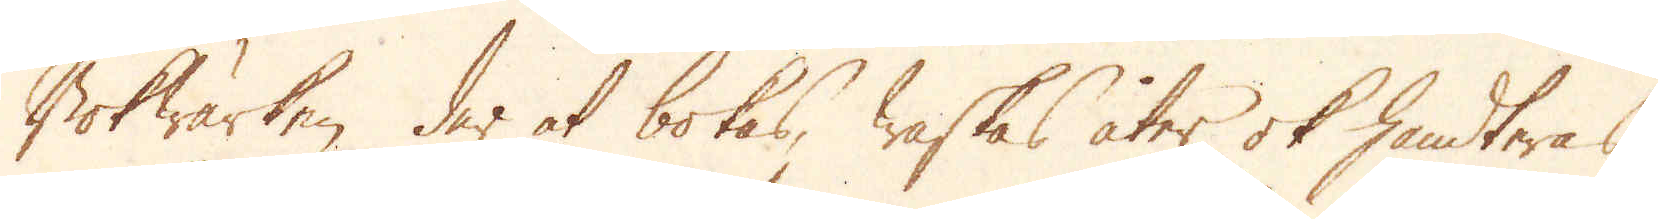Bokwärken der at bokas, waskas åter ok handteras
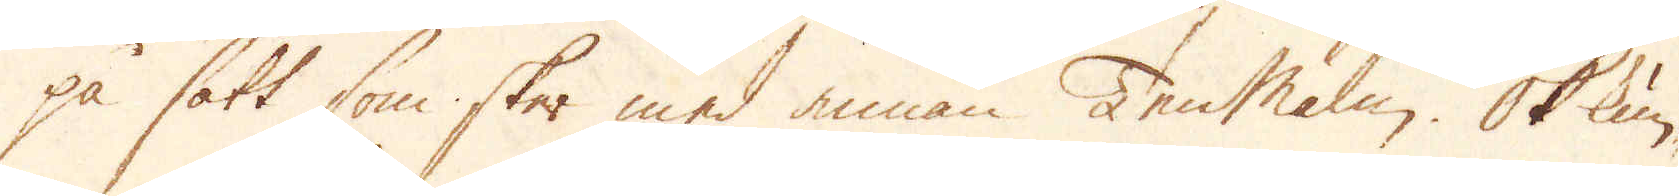på sätt som sker med annan Tenmalm. Ok kun-
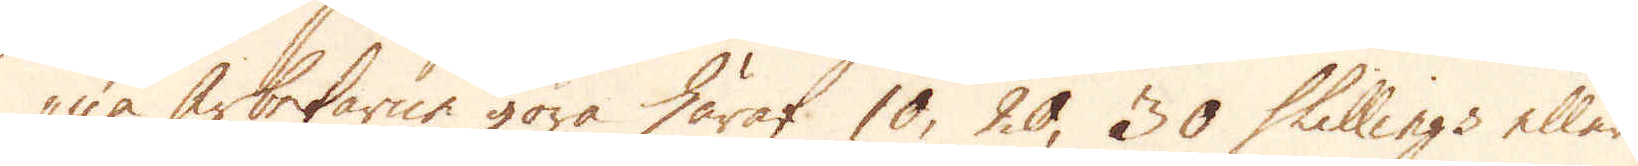na arbetarne göra häraf 10, 20, 30 Shillings eller
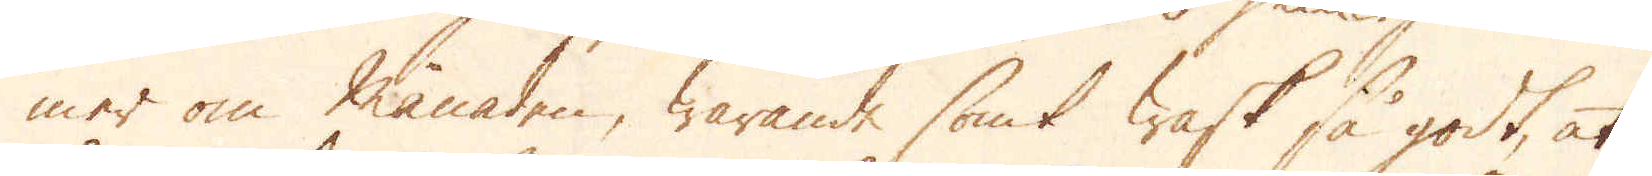mer om månaden, warande somt wask så godt, at
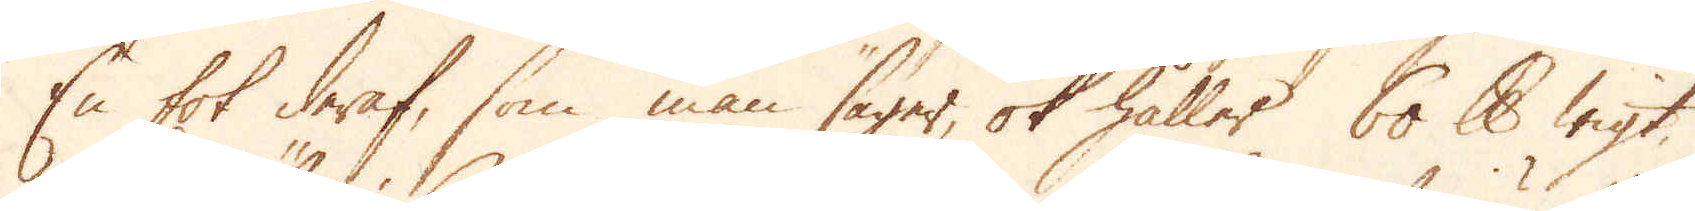En fot deraf, som man säger, ok håller 60 skålpunds wigt,
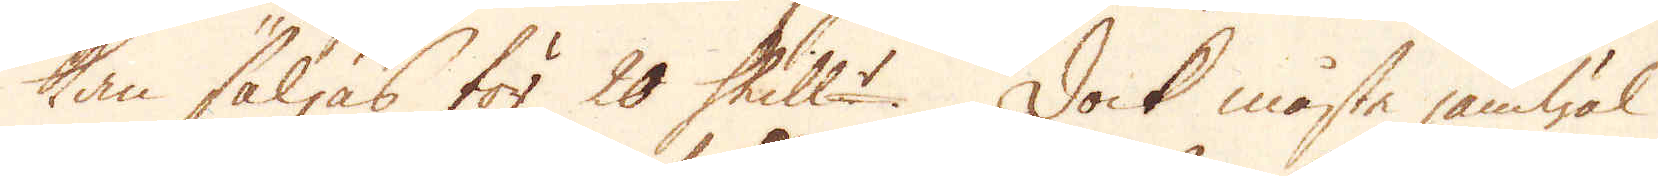kan säljas för 20 Shill:r. Dock måste jämwäl
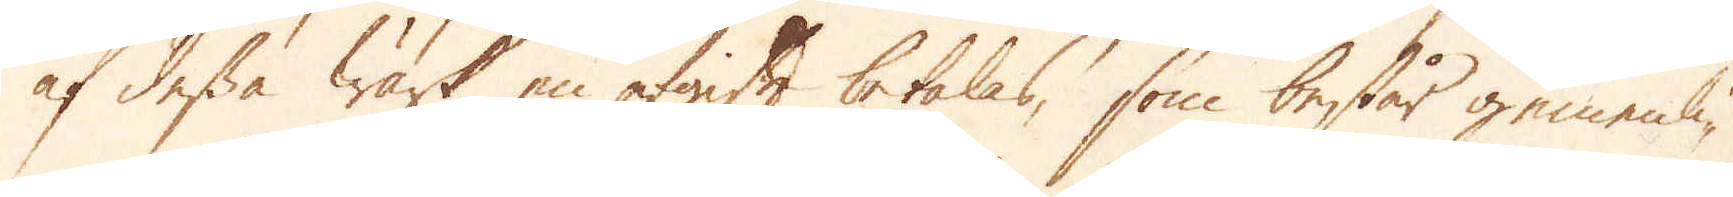af dessa Wärk en afgift betalas, som består gemenli-
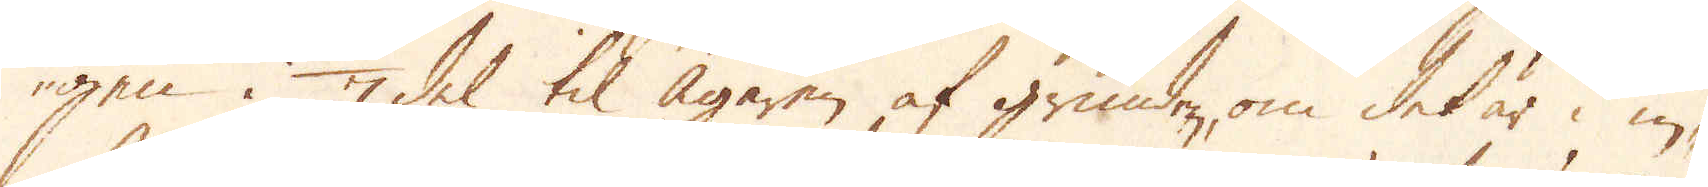gen i 1/7 del til ägaren af grunden, om det är i in-
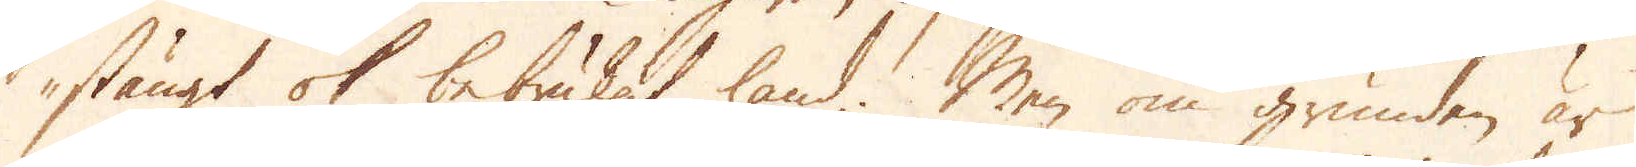stängt ok bebrukat land. Men om grunden är
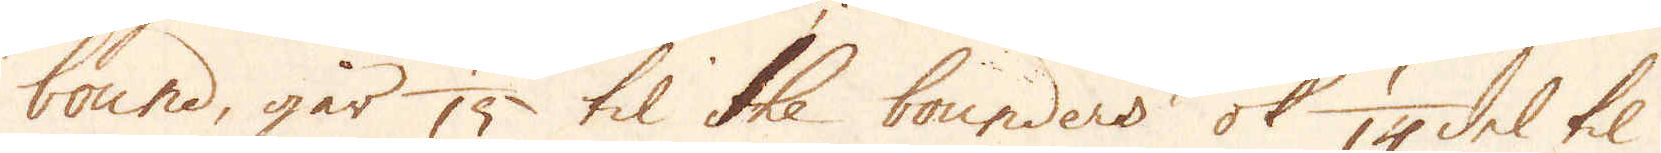bound, går 1/15 til the bounders ok 1/14 del til
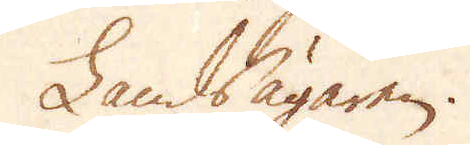Landsägaren.
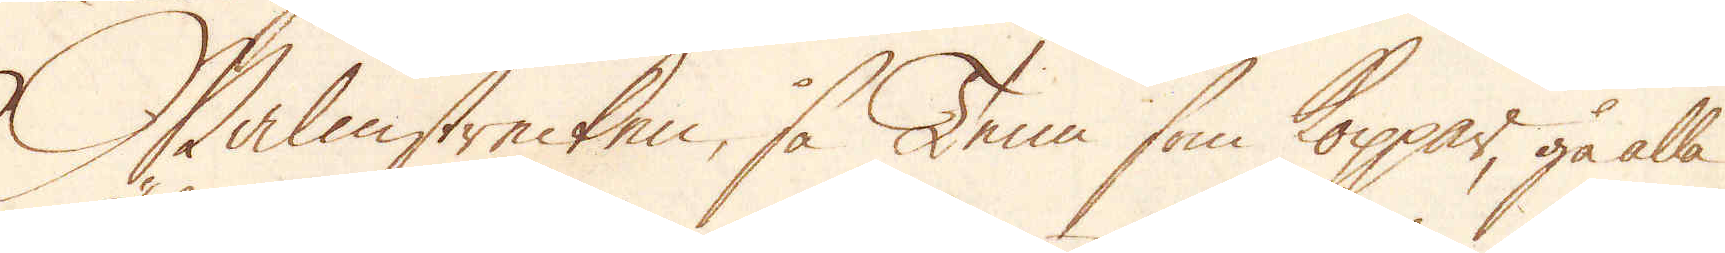Malmstrecken, så Tenn som Koppar, gå alla
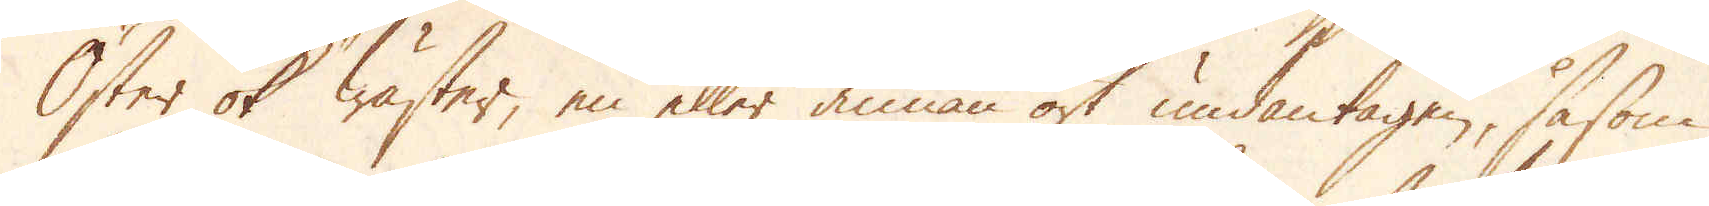Öster ok Wäster, en eller annan ort undantagen, såsom
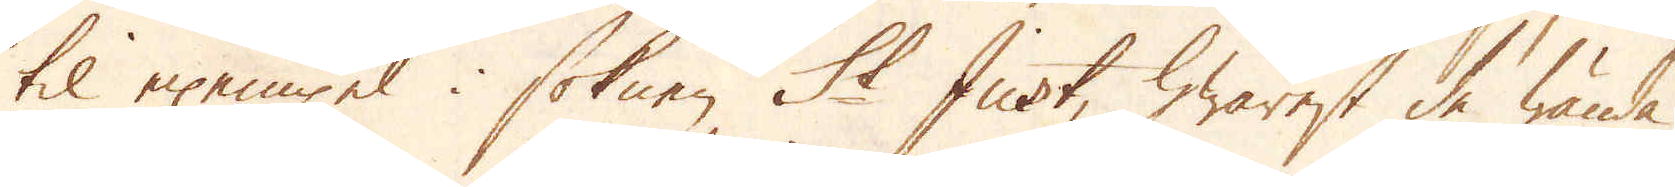til exempel i soknen St Just, hwarest de wända
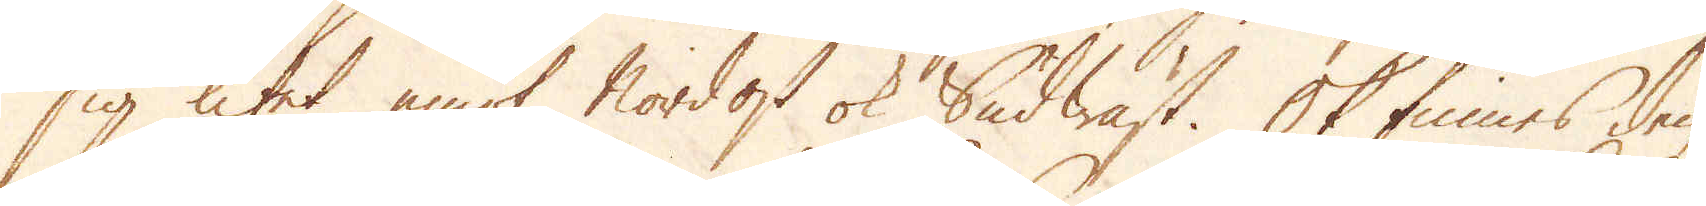sig litet emot Nordost ok Sudwäst. Ok finnes den
